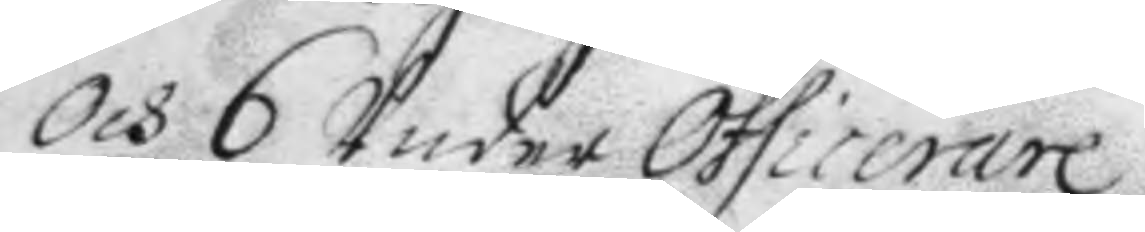och 6 Under Officerare
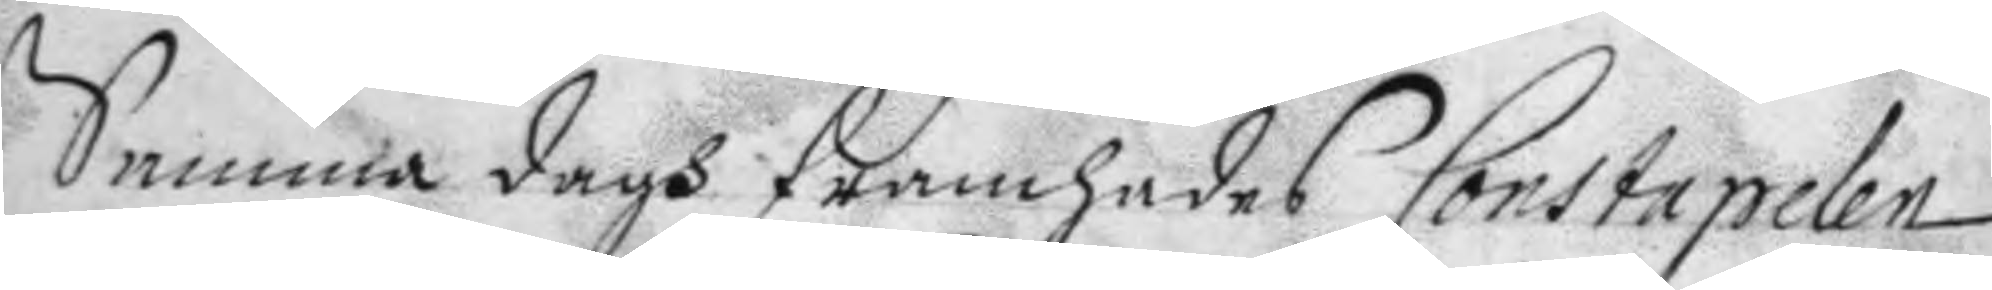Samma dagh framhades Constapelen
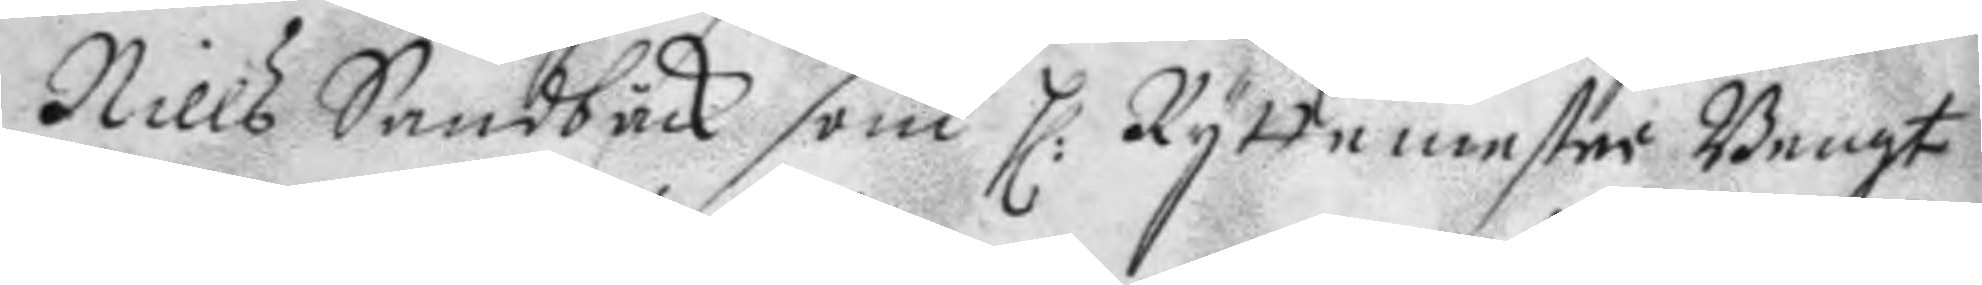Nills Sandbäck som H: Ryttemester Bengt
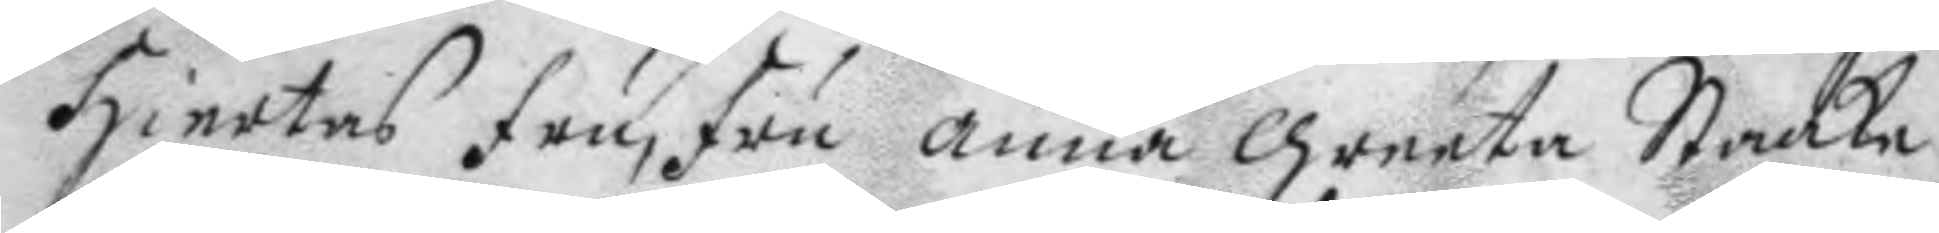Hiertas fru, fru annan greeta Staake
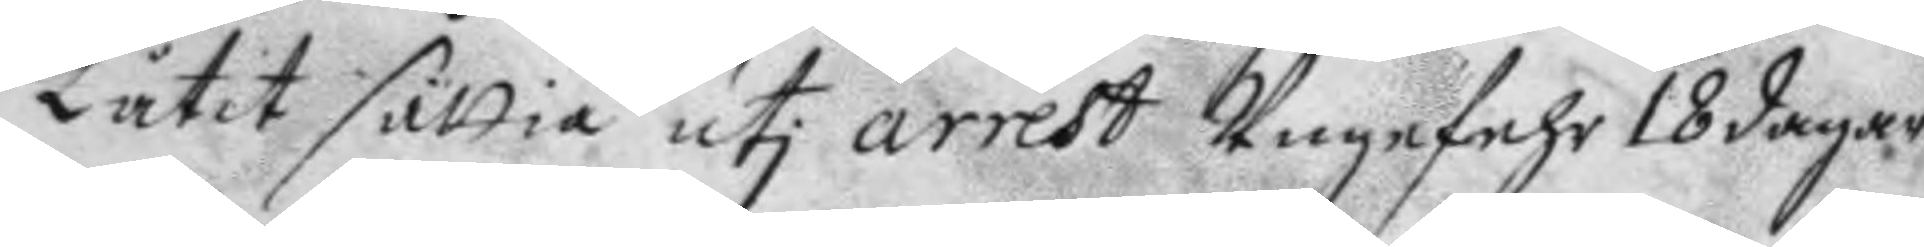låtit sättia uti arrets Ungefehr 18 dagar
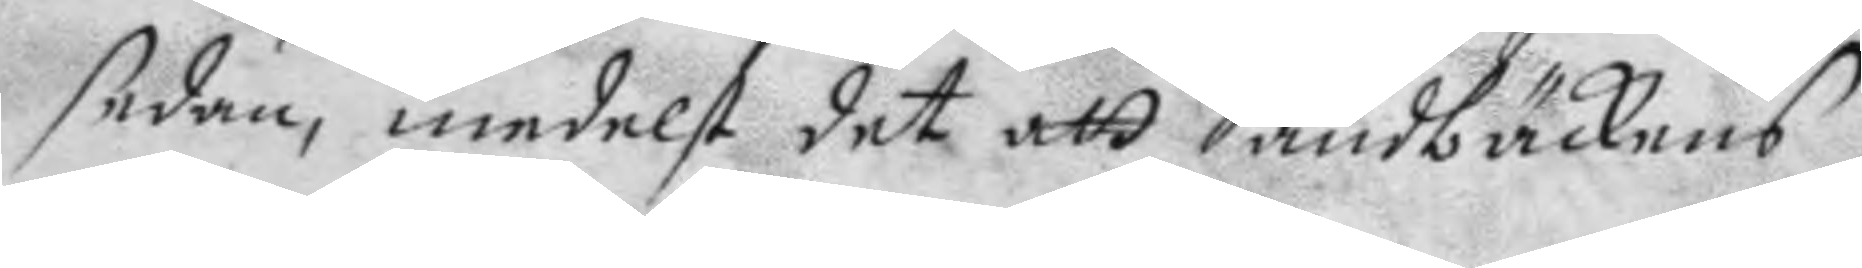sedan, medelst det att Sandbäckens
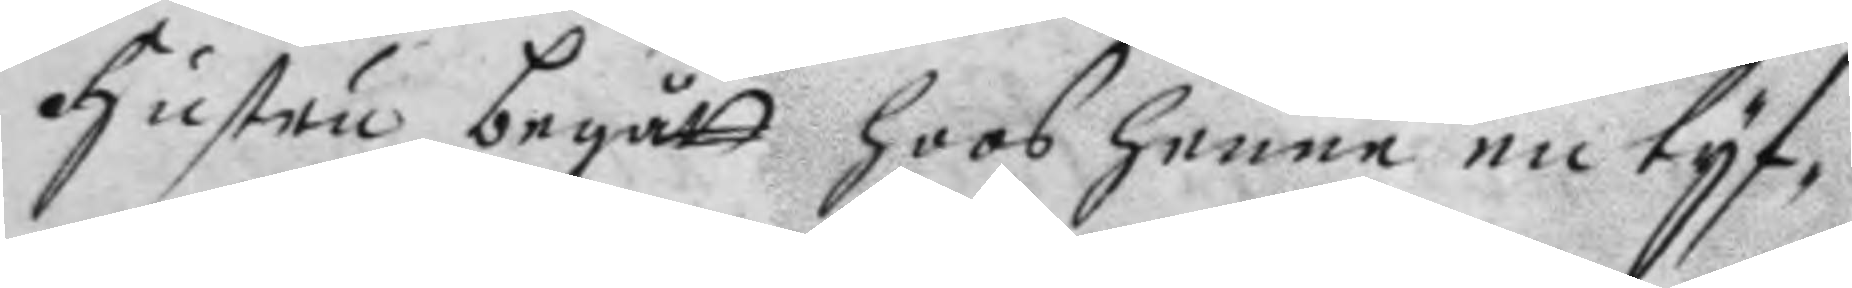hustru begått hoos henne en tyf¬
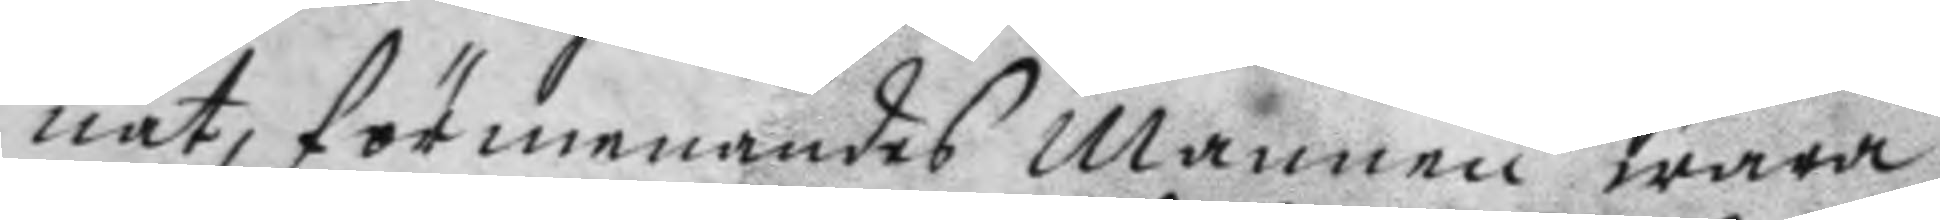nat, förmenandes mannen wara
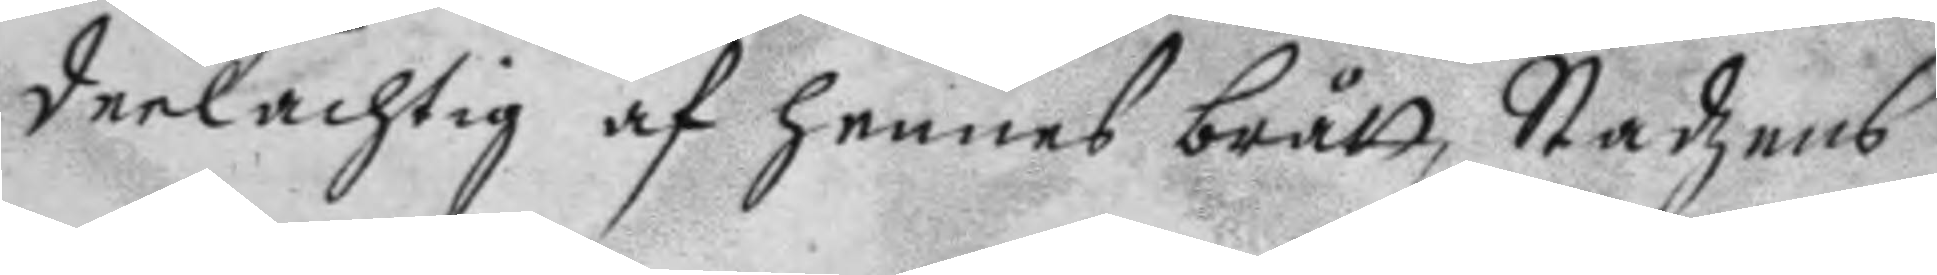deelachtig af hennes brått, Stadzens
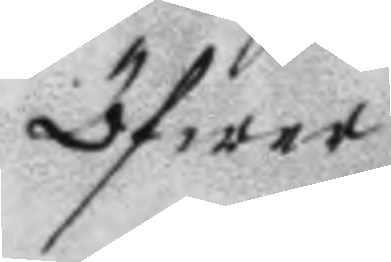öfwer
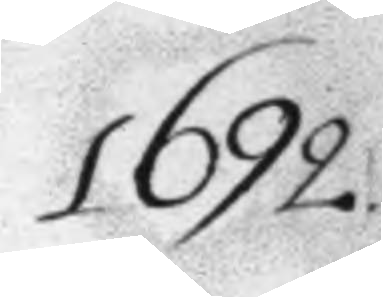1692
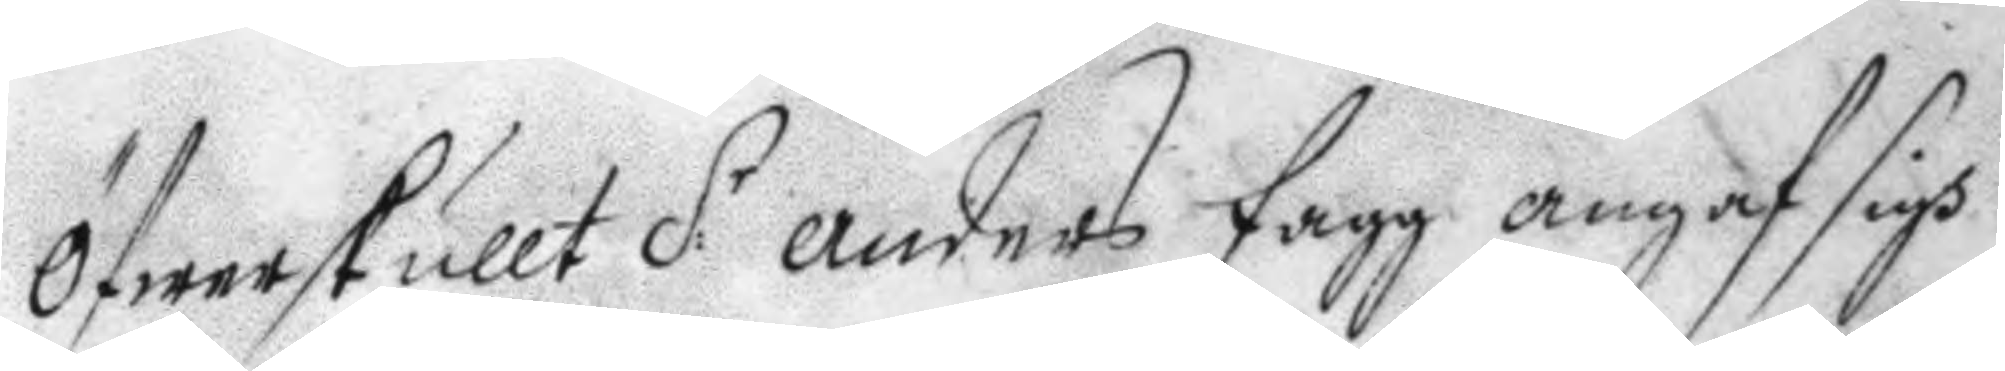öfwerskullt S:r anders Fagg angaf sigh
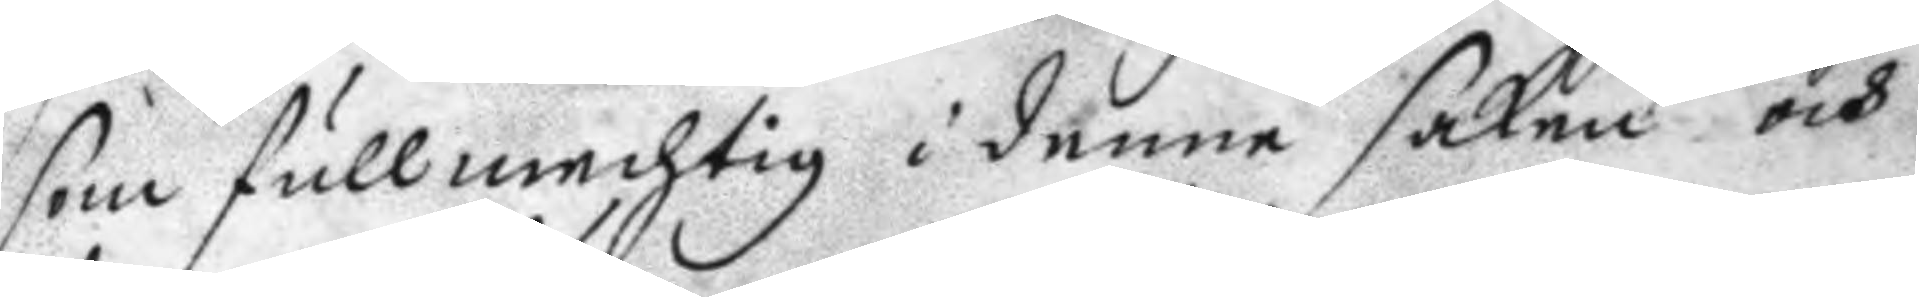som fullmechtig i denne saken och
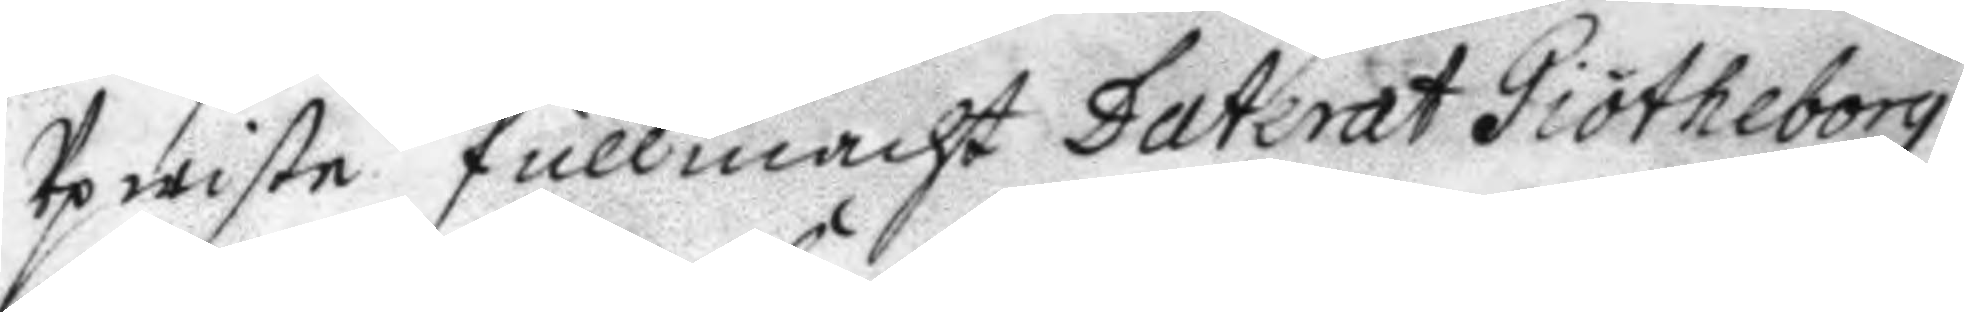Upwiste fullmacht Daterat Giötheborg
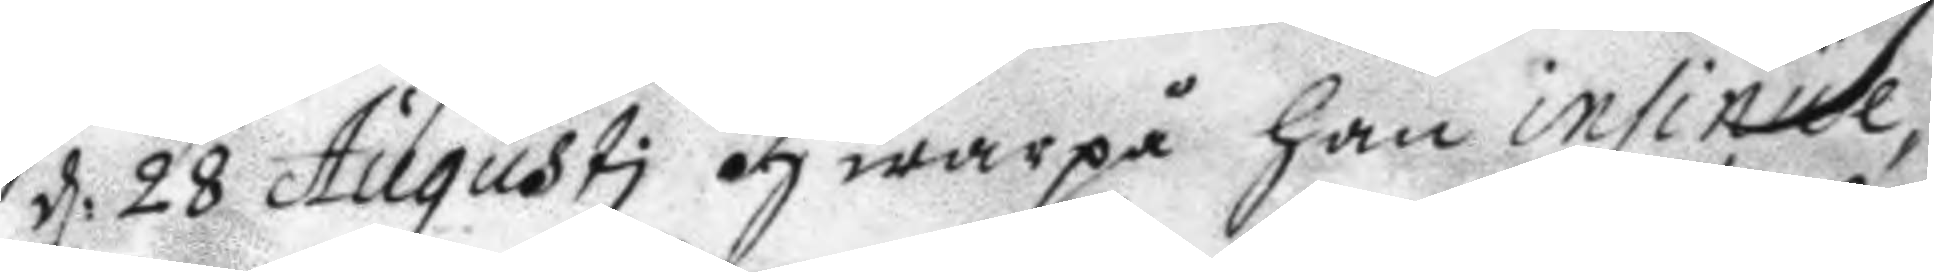d: 28 Augusti hwarpå han insinue¬
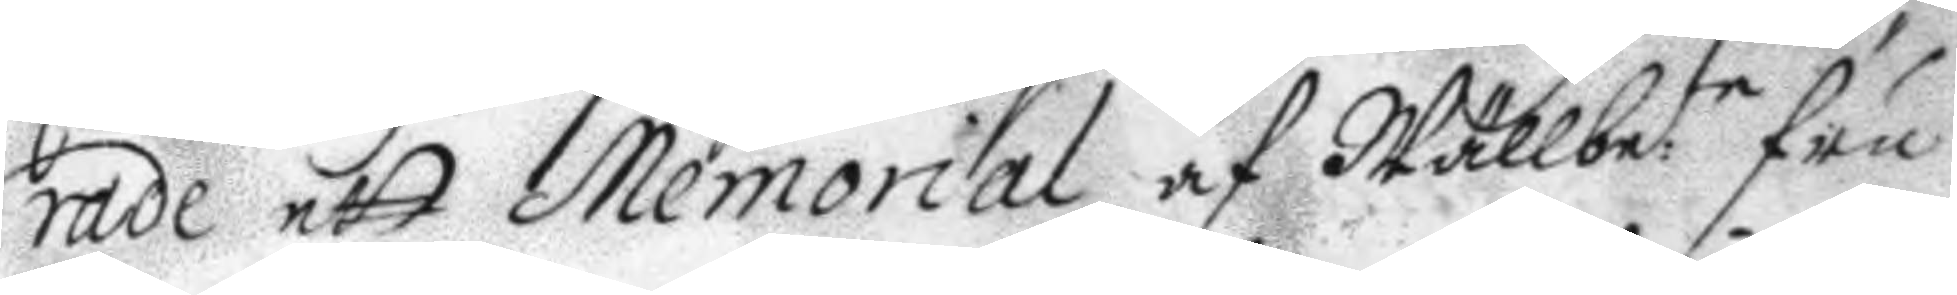rade att Memorial af Wällbete Fru
